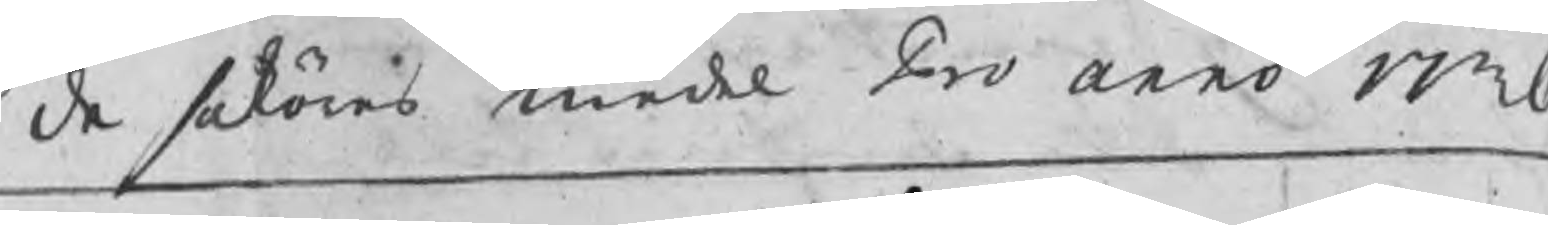de saköres medel Pro anno 1736
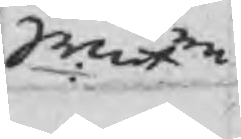Srmt
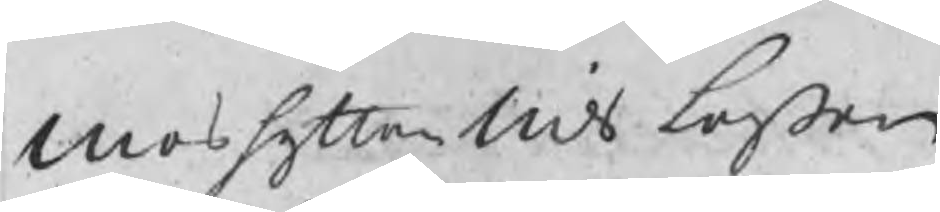Moshyttan Nils Larßon
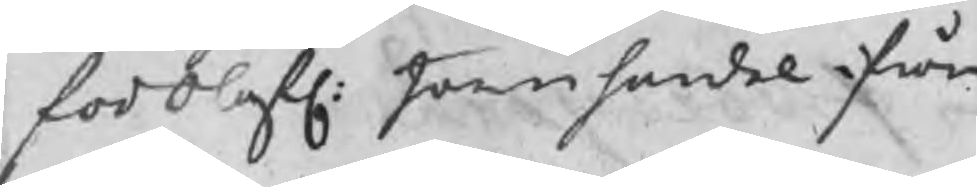för olofl: Järnhandel ifrån
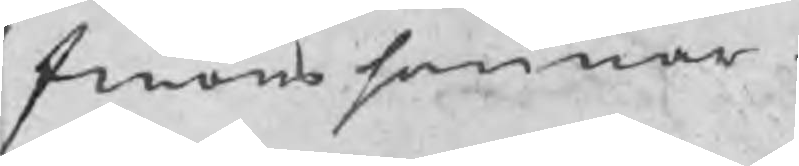finåns hammar
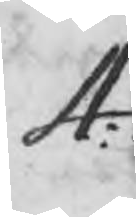4:
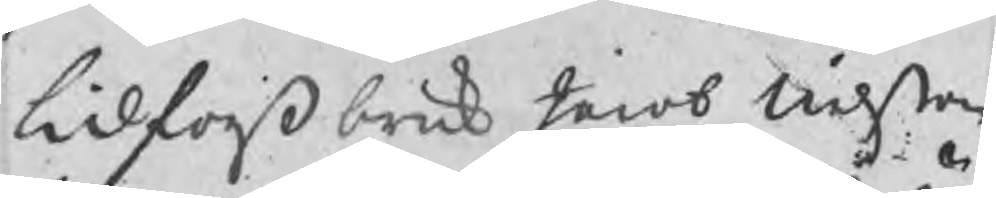lidforß bruk Jacob Nilßon
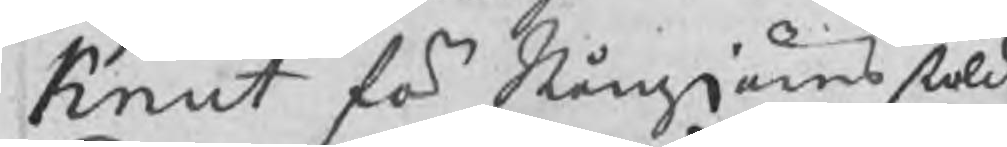Knut för Stångjärns stöld
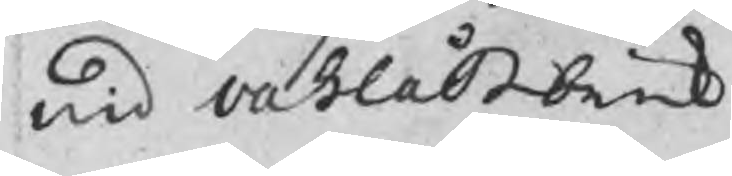wid vahlåß bruk
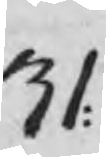31:
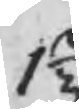1 2/3
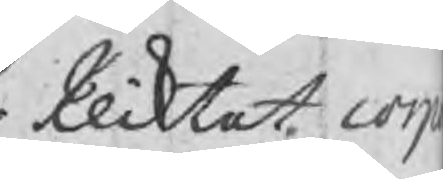Pliktat cor
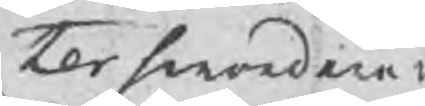tersmeden 
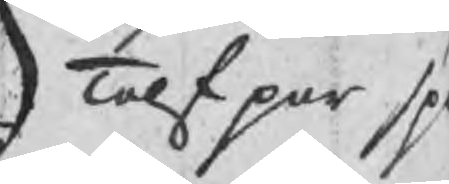Tolf par sp
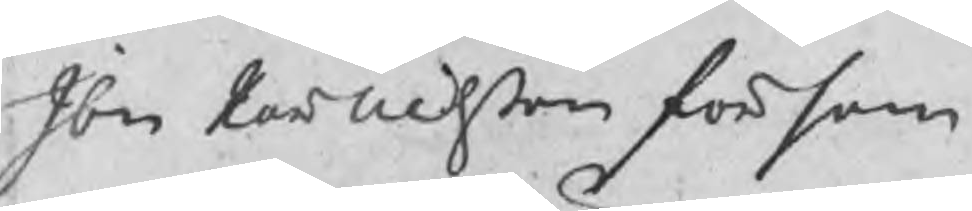Ibm Par Nilßon för sam
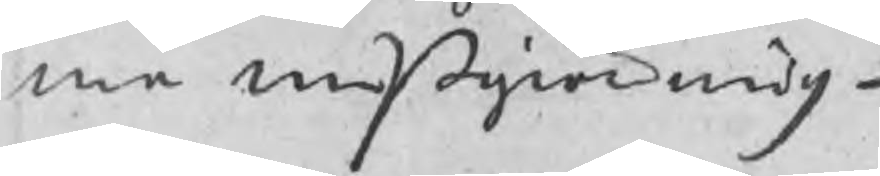ma mißgiärning
